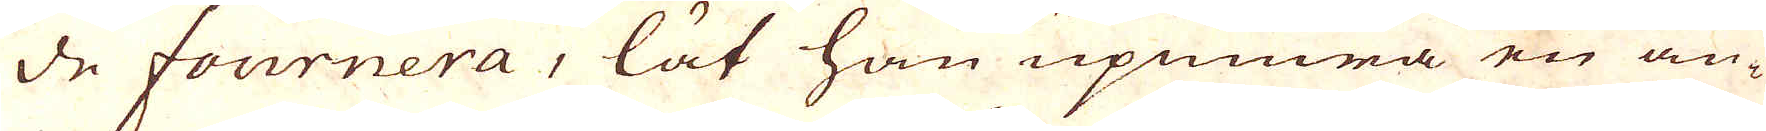de fournera, lät han upmura en an-
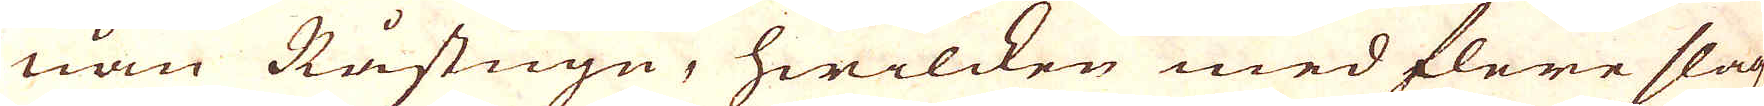nan Råstugn, hwilcken med flere slagz
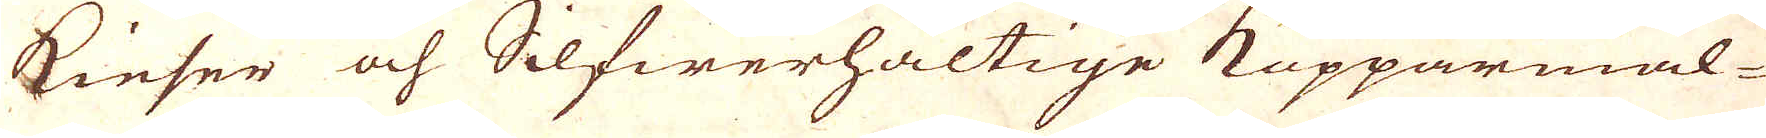Kieser och Silfwerhaltige Kopparmal-
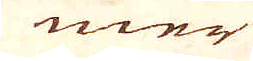mer
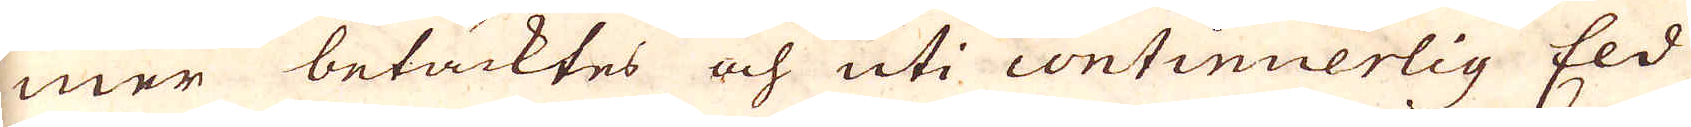mer betänktes och uti continuerlig Eld
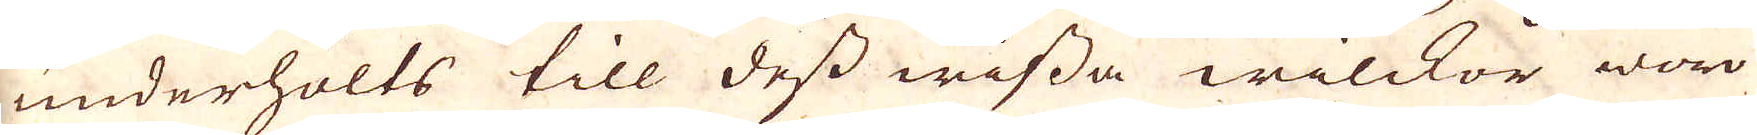underhölts till dess wissa wilckor woro
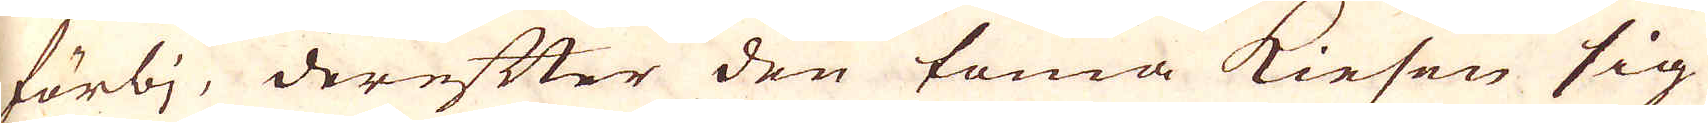förbj, derefter den toma Kiesen sig
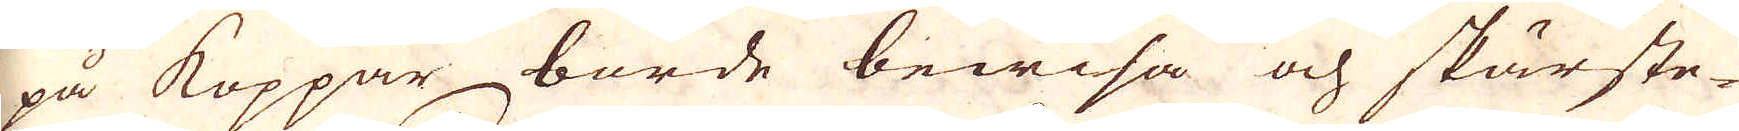på koppar borde bewisa och skärste-
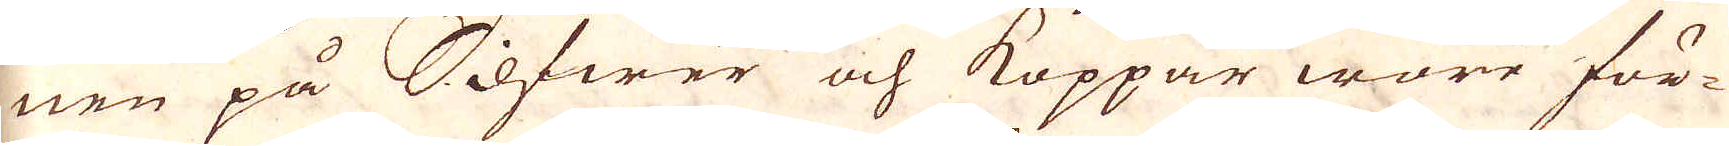nen på Silfwer och Koppar wore för-
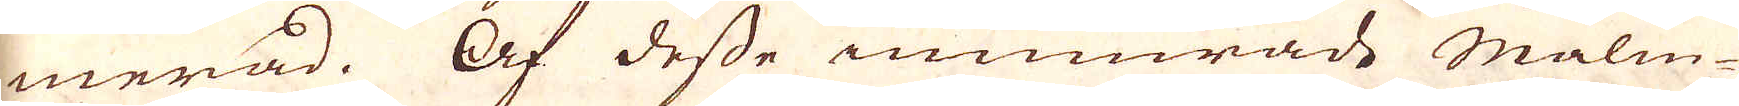merad. Af desse inmurade malm-
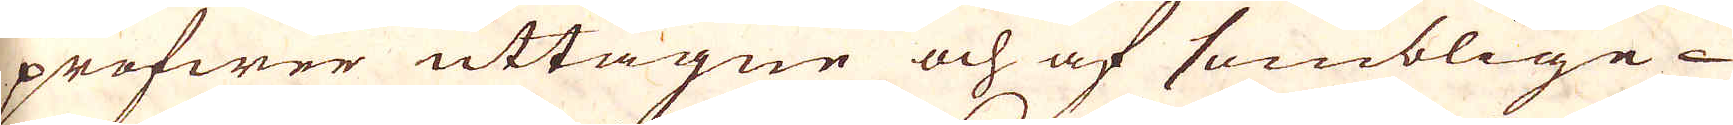profwer uttagne och af somblige
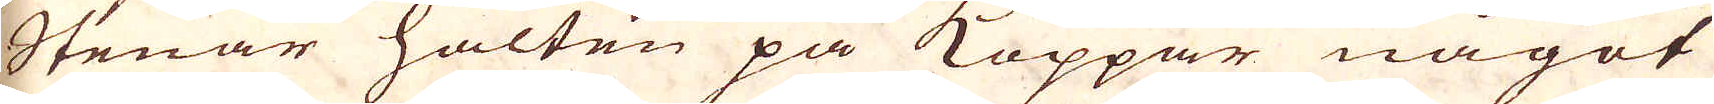Stenar halten på Koppar något
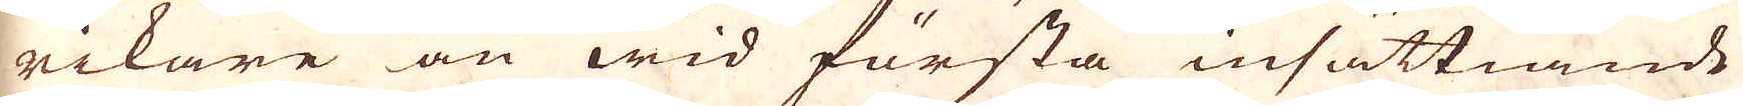rikare än wid första insättiande
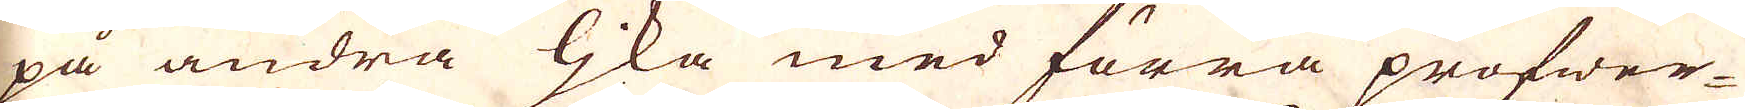på andra ljka med förra profwer-
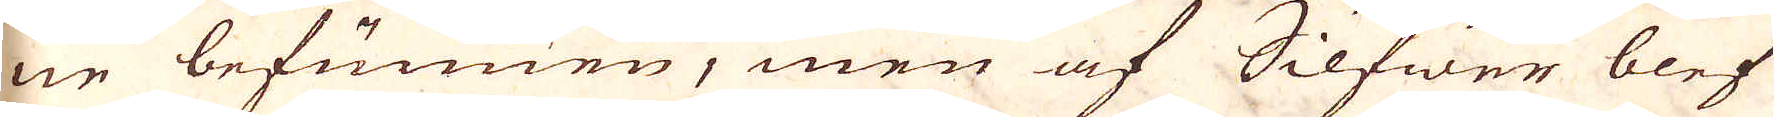ne befunnen, men af Silfwer blef
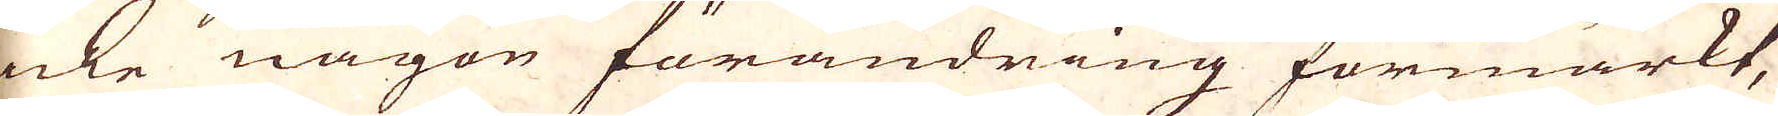icke någon förändring förmärkt,
